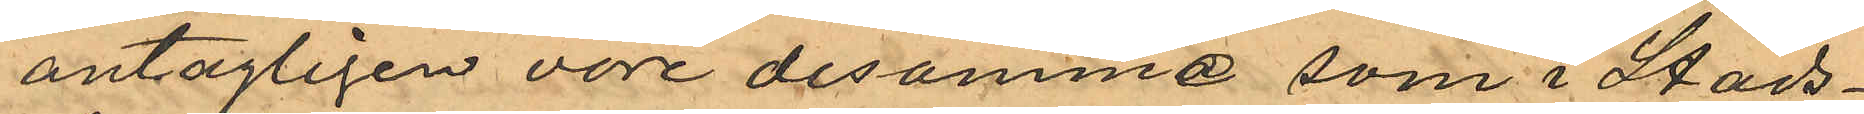antagligen vore desamme som i Stads¬
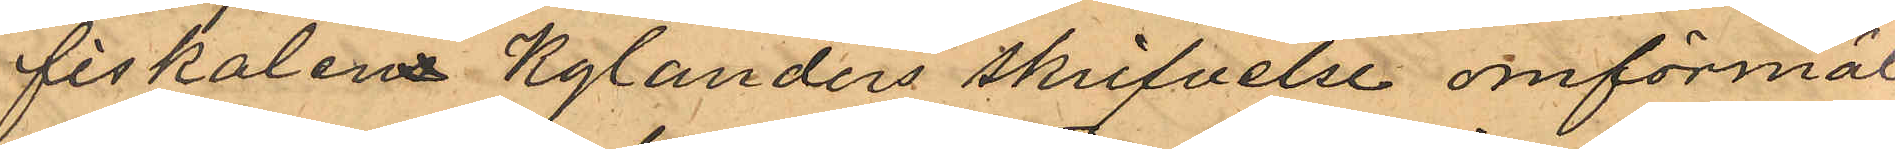fiskalen Kylanders skrifvelse omförmäl¬
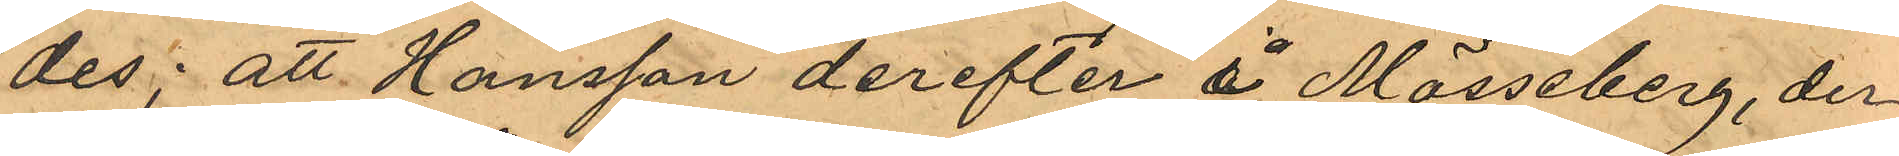des; att Hansson derefter i Mösseberg, der
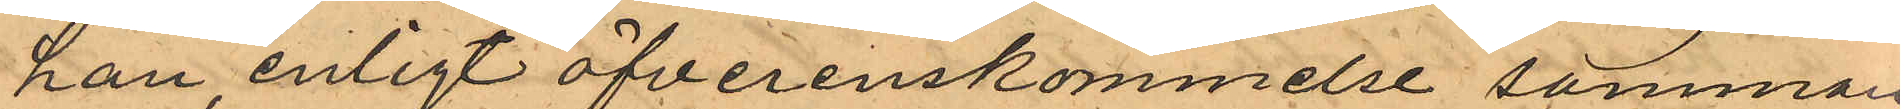han, enligt öfverenskommelse samman¬
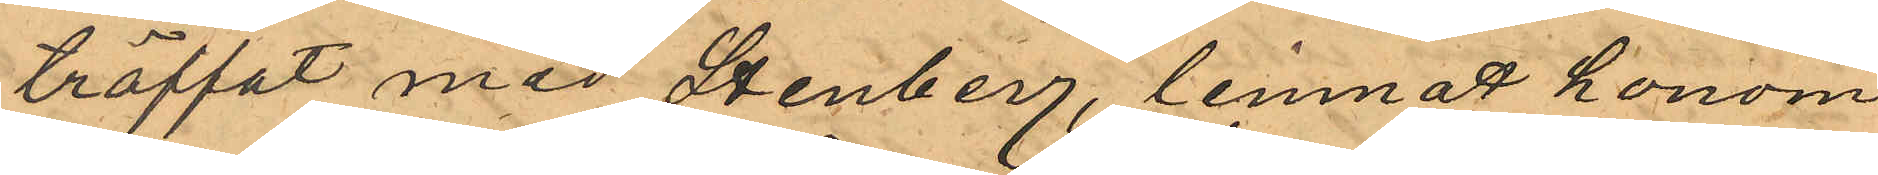träffat med Stenberg, lemnat honom
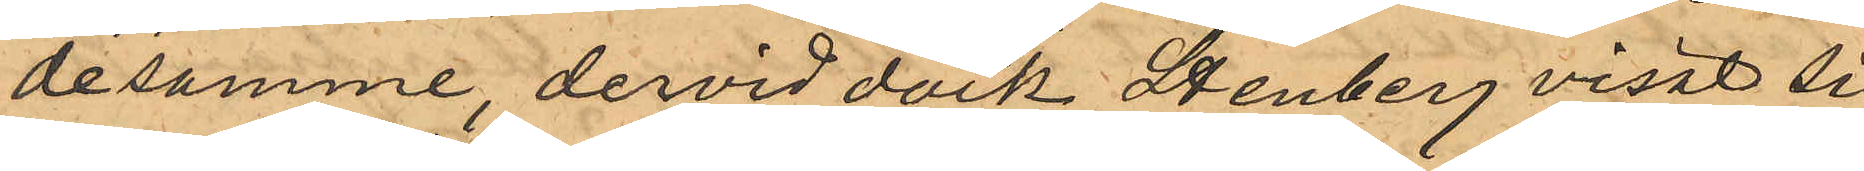desamme, dervid dock Stenberg visat sig
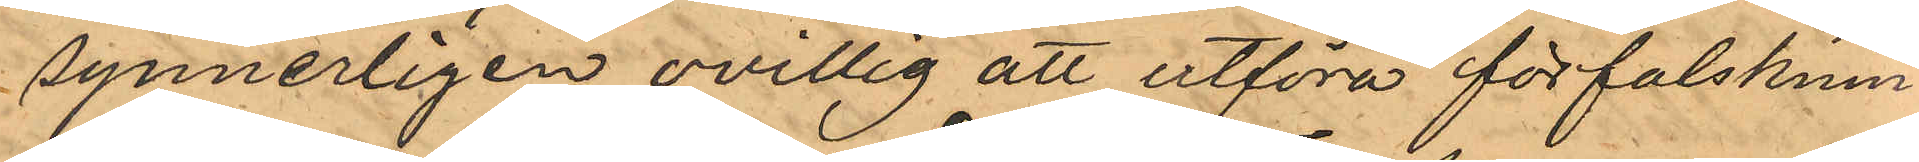synnerligen ovillig att utföra förfalsknin¬
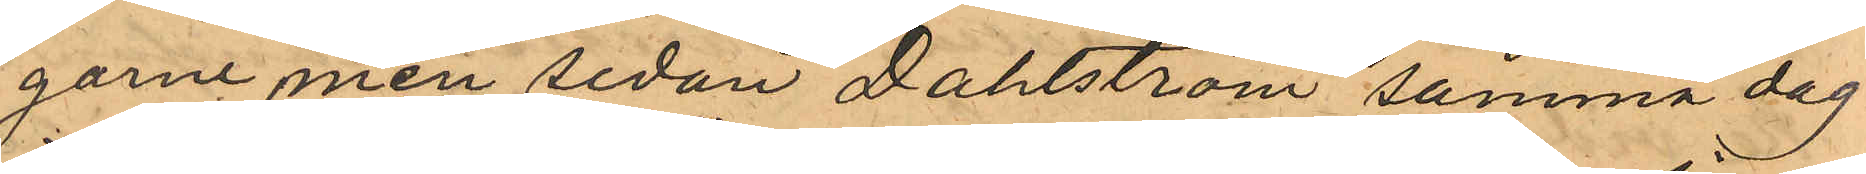garne men sedan Dahlström samma dag
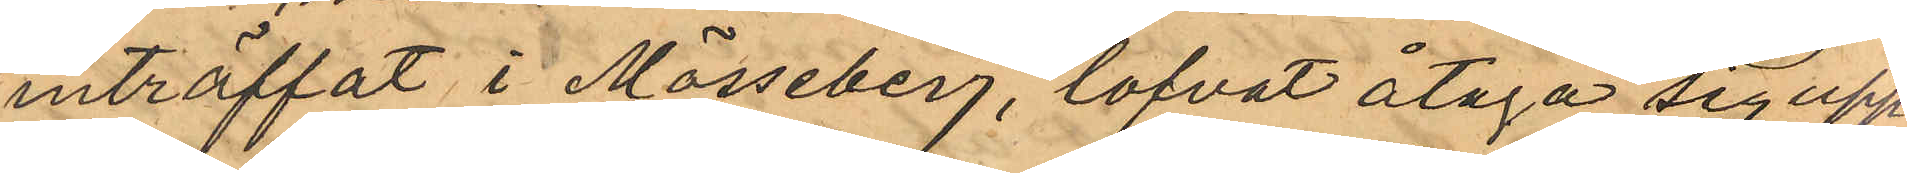inträffat i Mösseberg, lofvat åtaga sig upp¬
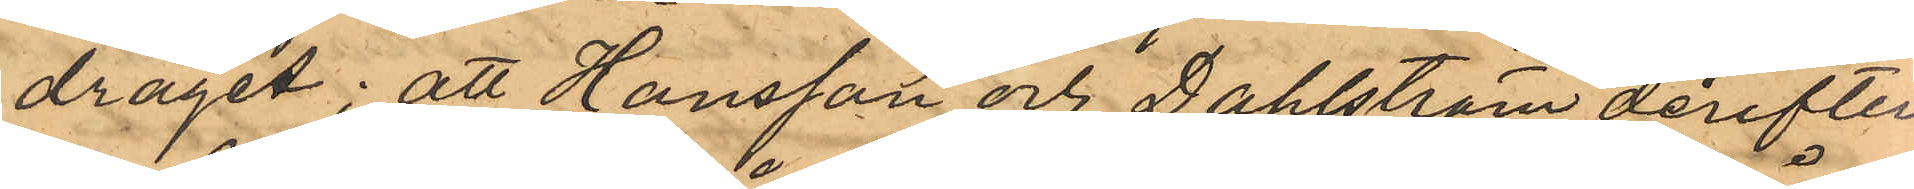draget; att Hansson och Dahlström derefter
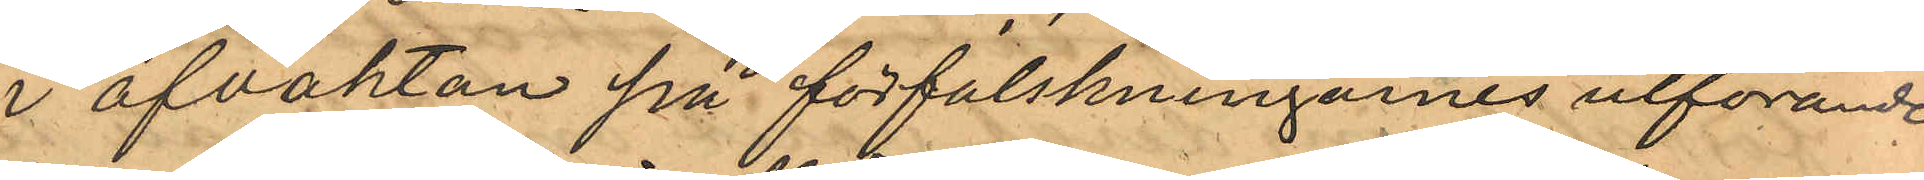i afvaktan på förfalskningarnes utförande
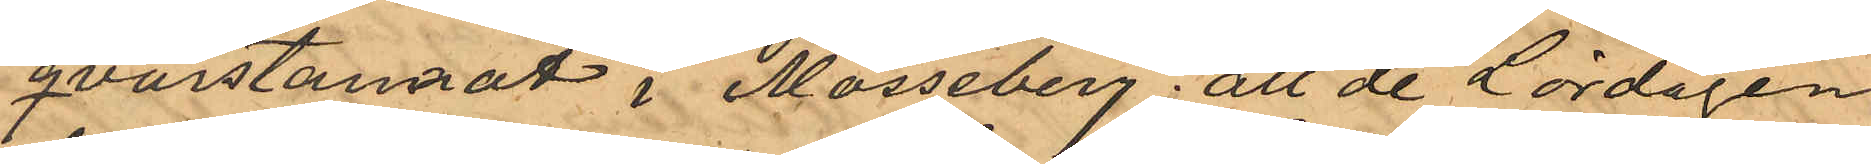qvarstannat i Mösseberg, att de Lördagen
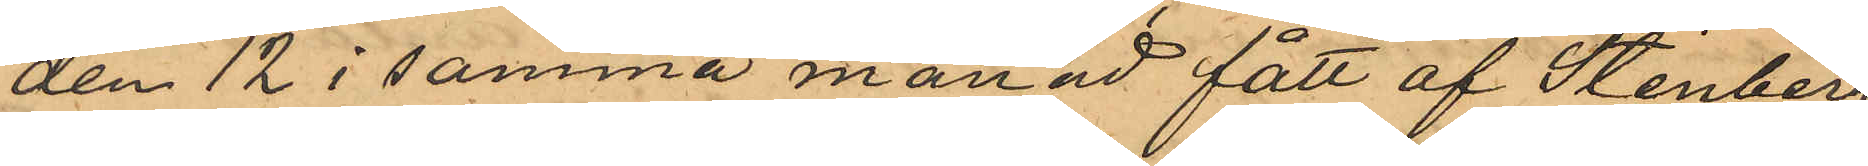den 12 i samma månad fått af Stenberg
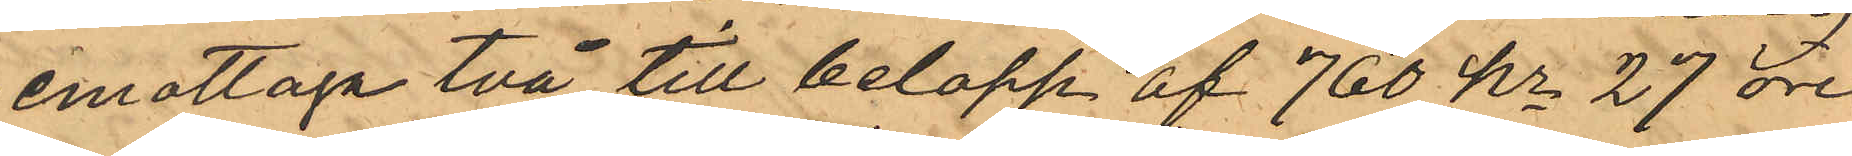emottaga två till belopp af 760 kr 27 öre
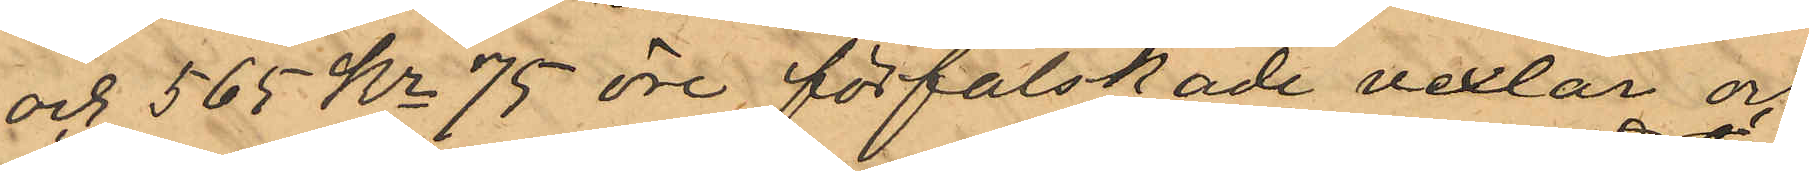och 565 Kr 75 öre förfalskade vexlar och
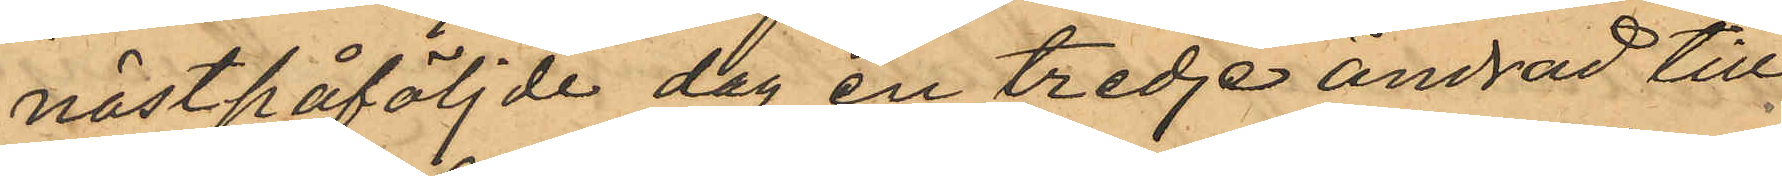nästpåföljde dag en tredje andrad till¬
